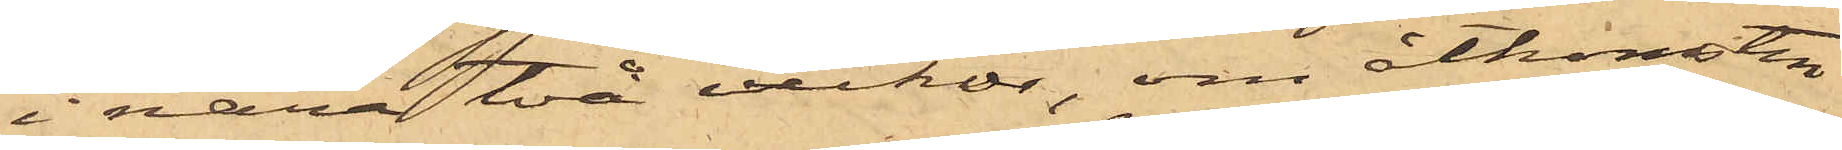i nära två veckor, om åtkomsten
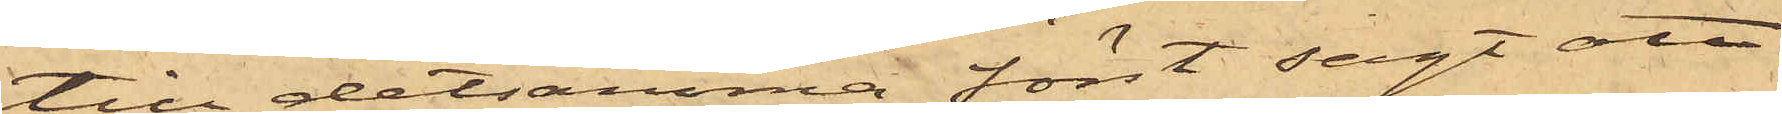till detsamma först sagt att
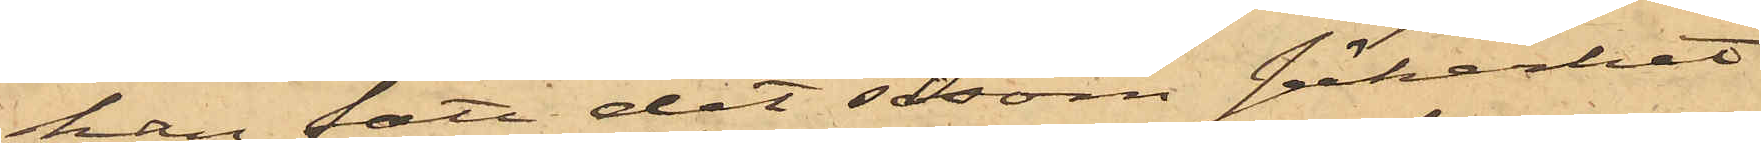han fått det såsom säkerhet
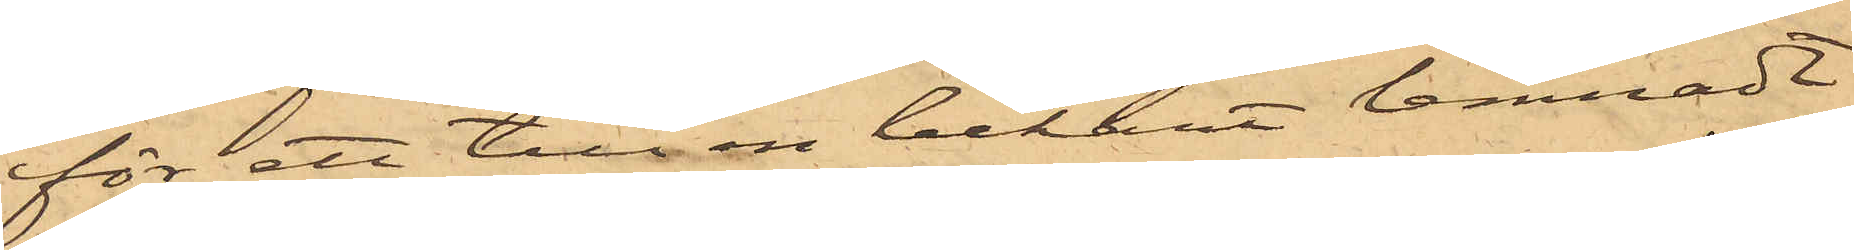för ett till en bekant lemnadt
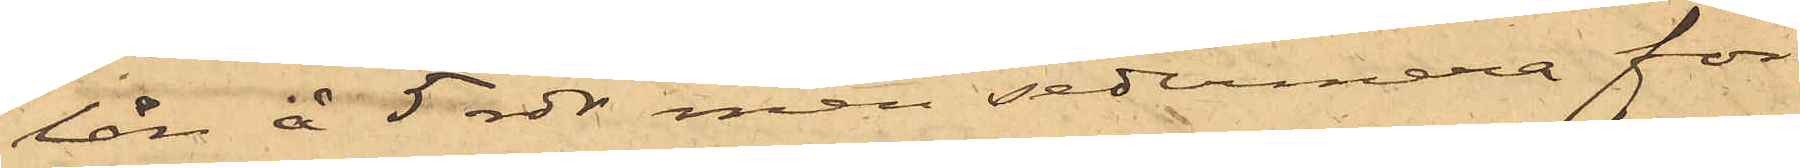lån å 5 rdr, men sedermera för
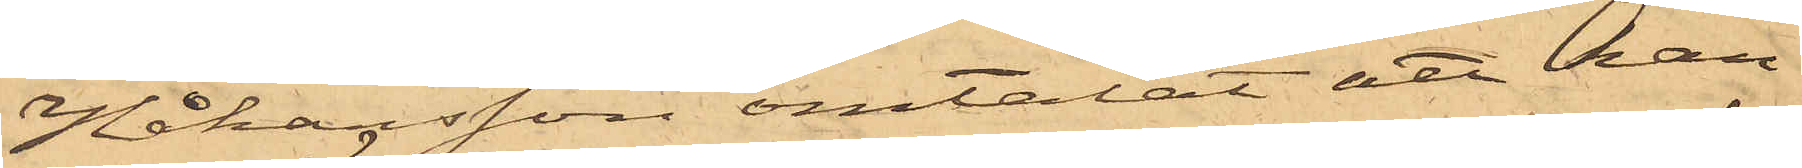Håkansson omtalat att han
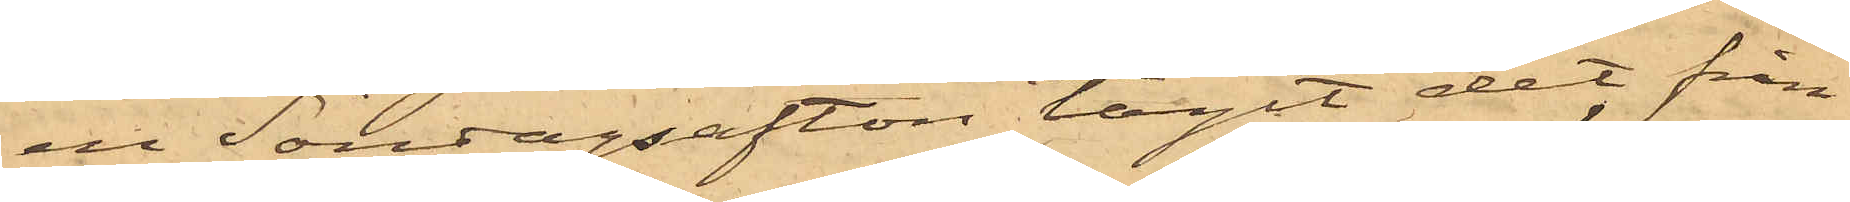en Söndagsafton tagit det från
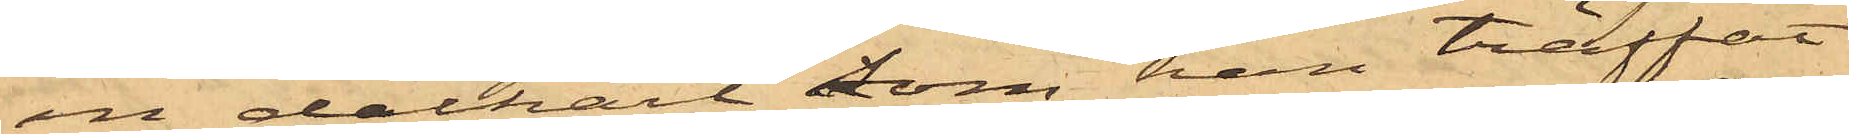en dalkarl, som han träffat
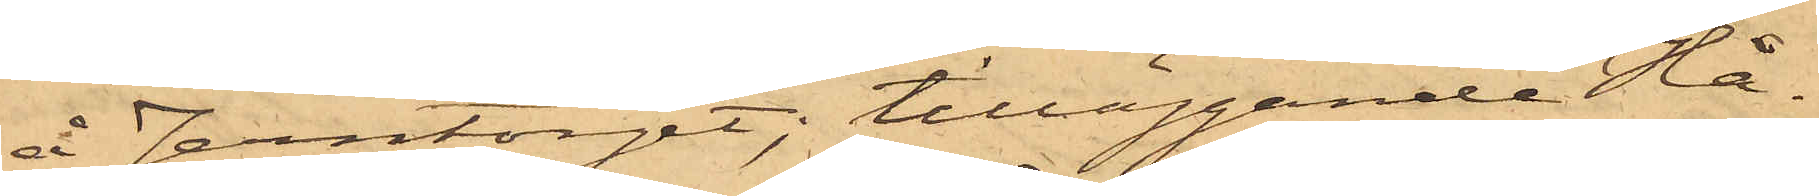å Jerntorget; tilläggande Hå¬
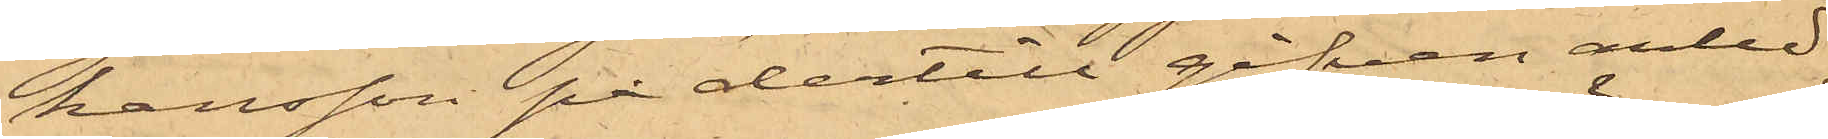kansson på dertill gifven anled¬
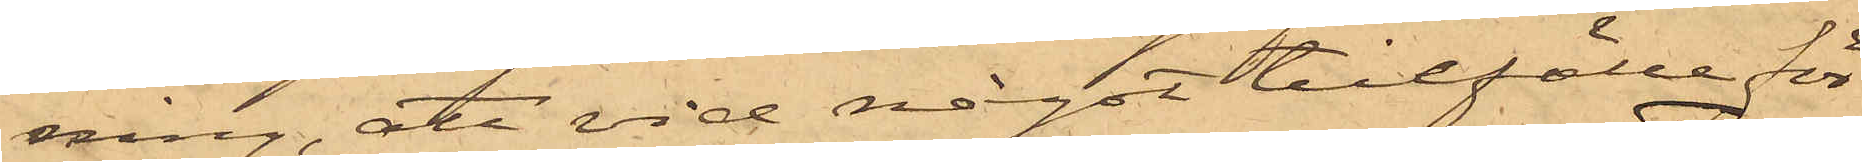ning, att vid något tillfälle för
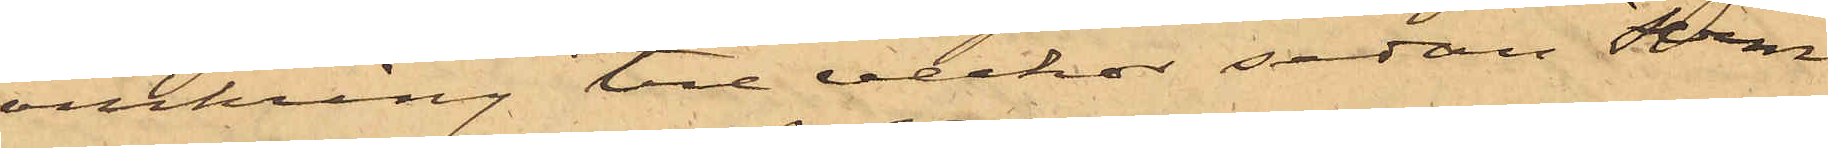omkring tre veckor sedan Ferm
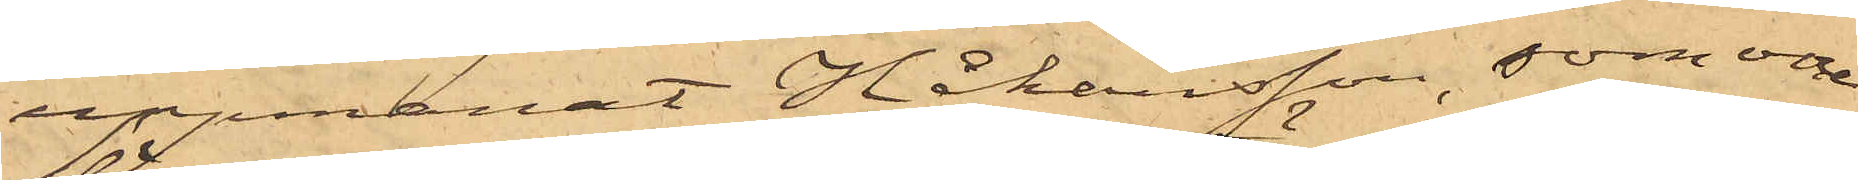uppmanat Håkansson, som vore
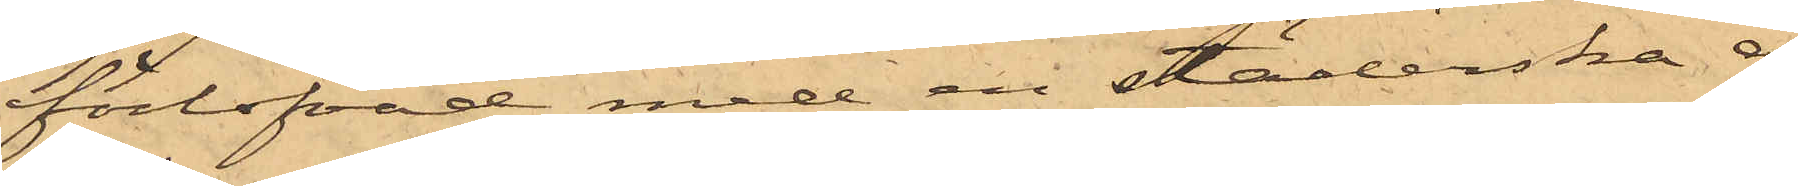förlofvad med en städerska å
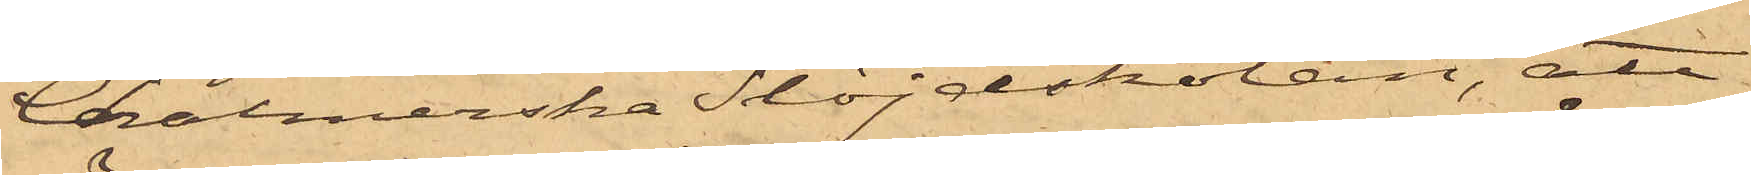Chalmerska Slöjdskolan, att
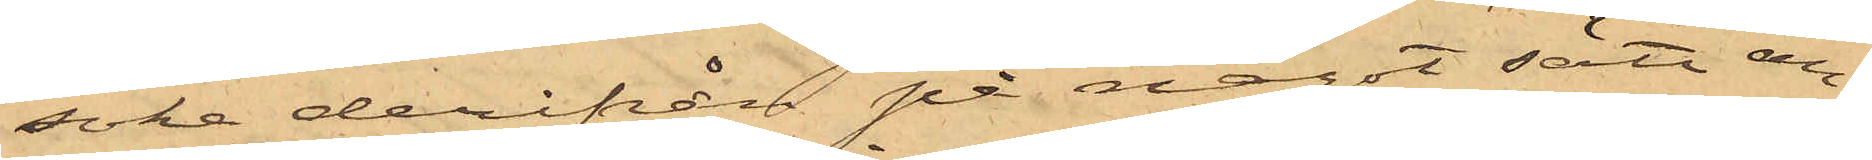söka derifrån på något sätt an¬
